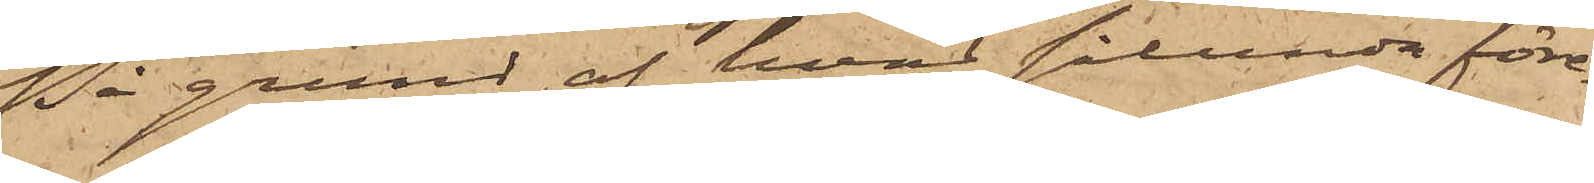På grund af hvad sålunda före¬
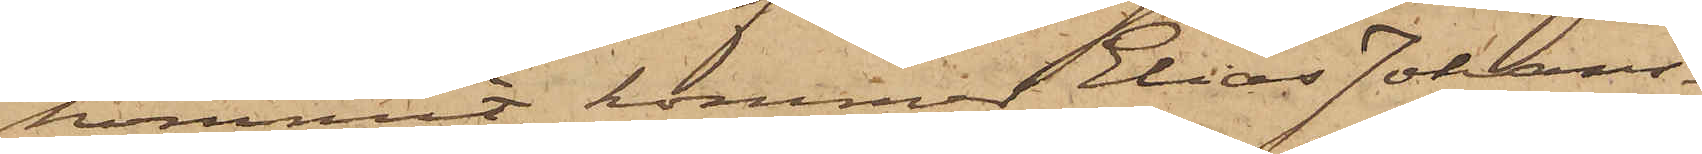kommit, kommer Elias Johans¬
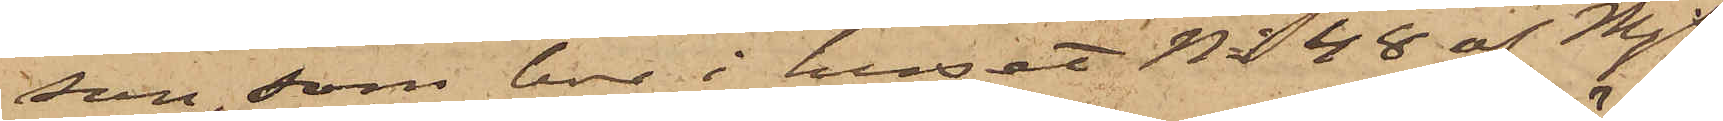son, som bor i huset No 48 af Mjs
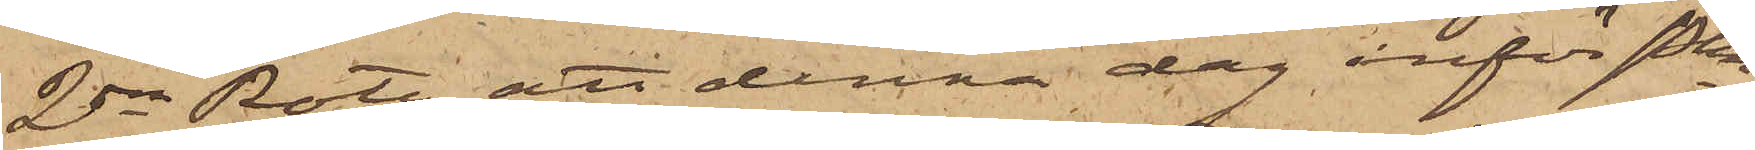2dra Rote, att denna dag inför Pkn
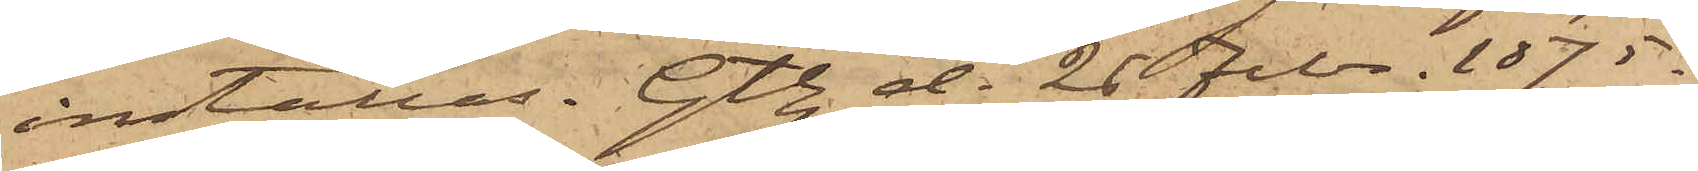inställas. Gtbg d. 26 Febr. 1875.
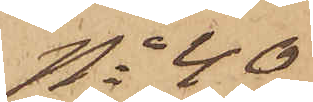No 40
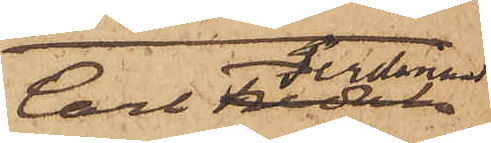Carl Ferdinand
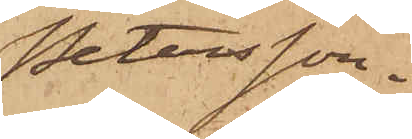Petersson.
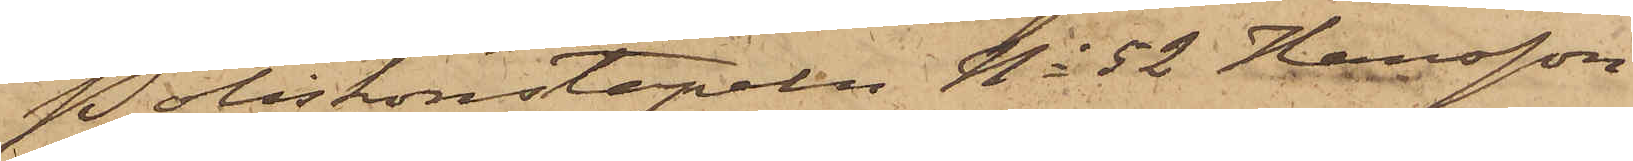Poliskonstapeln No 52 Hansson
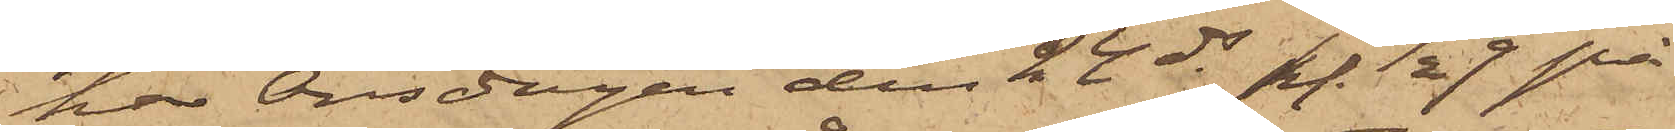har Onsdagen den 24 ds kl. 1/2 9 på
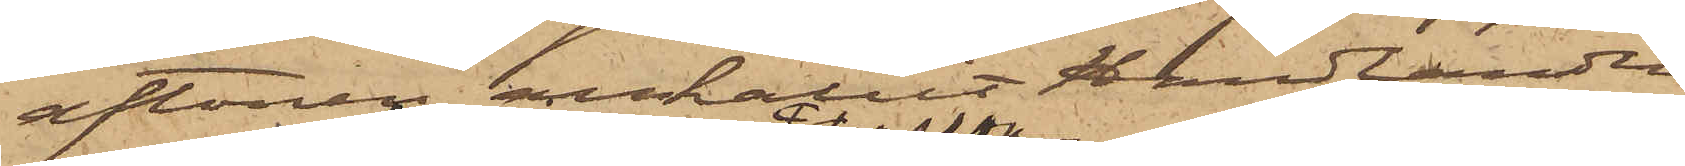aftonen anhållit handlanden
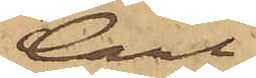Carl
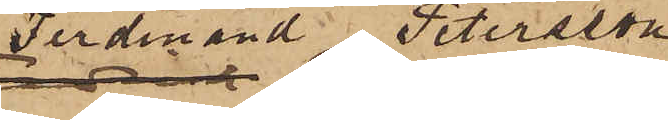Ferdinand Petersson,
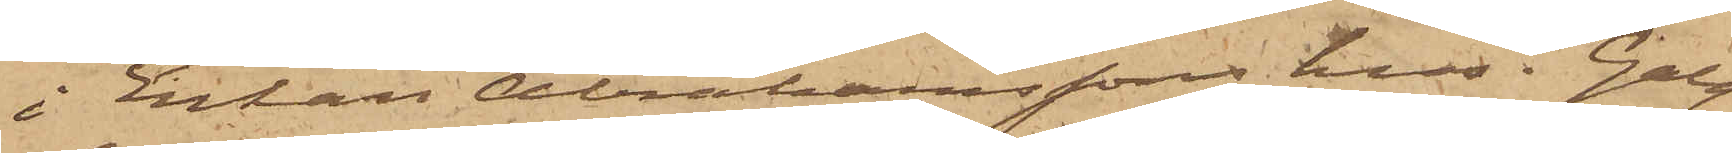i Enkan Abrahamssons hus i Galg¬
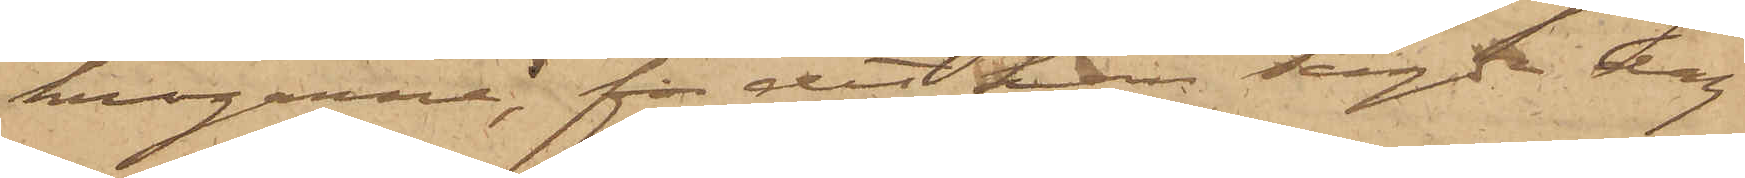krogarne, för det han sagde dag
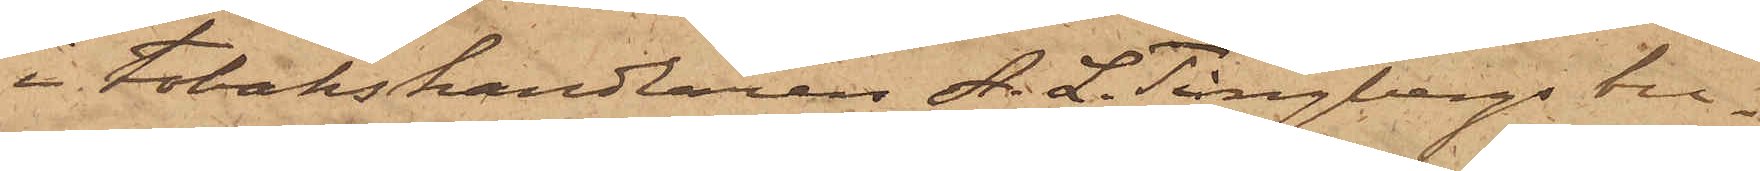i Tobakshandlaren A. L. Tingbergs bu¬
